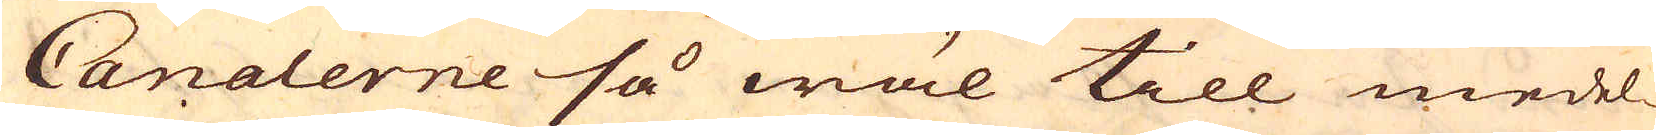Canalerne så wäl till medel-
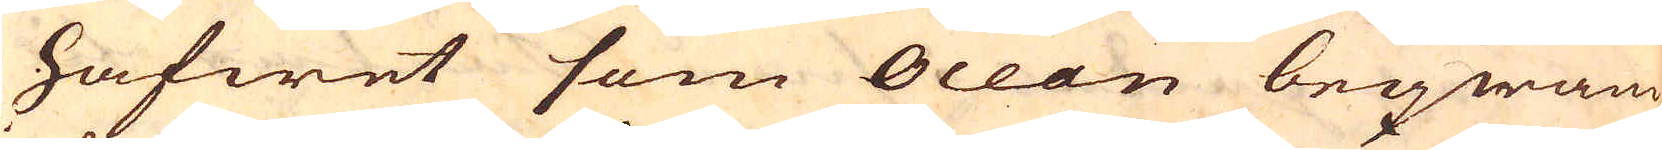hafwet som Ocean beqwäm
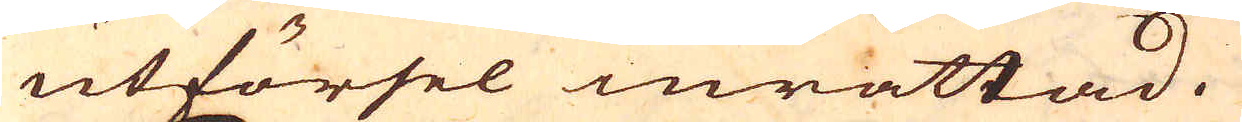utförsel inrättad.
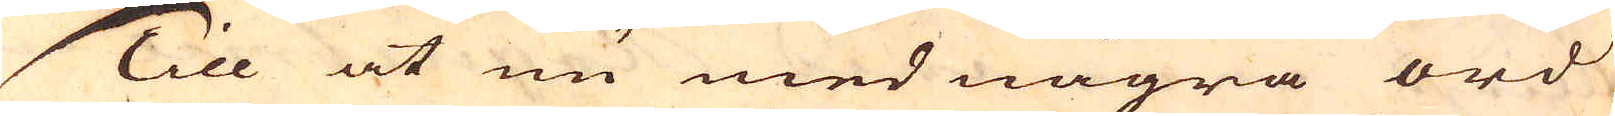Till at nu med några ord
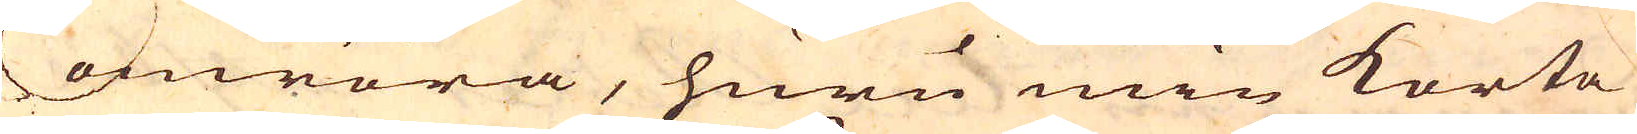omröra, huru min korta
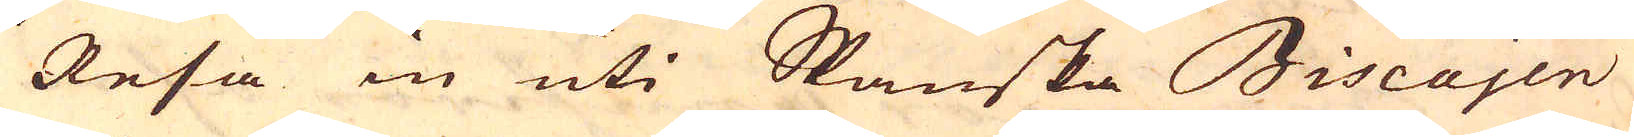Resa in uti Spanska Biscajen
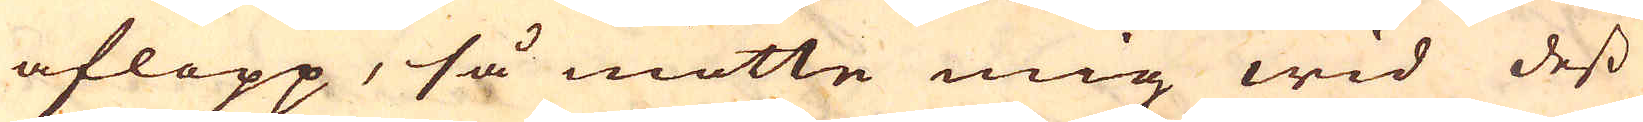aflopp, så mötte mig wid dess
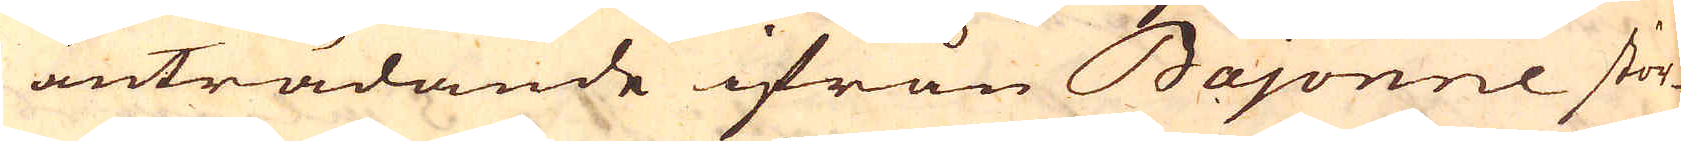anträdande ifrån Bajonne stör-
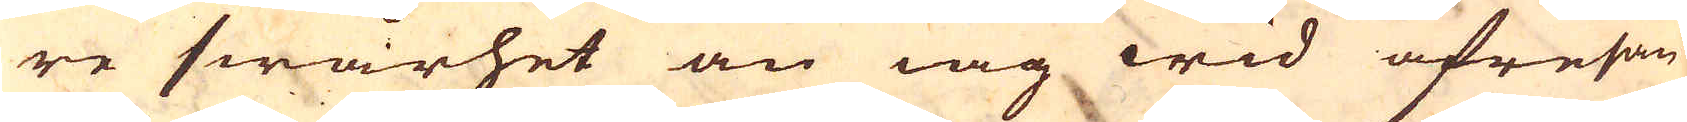re swårhet än iag wid afresan
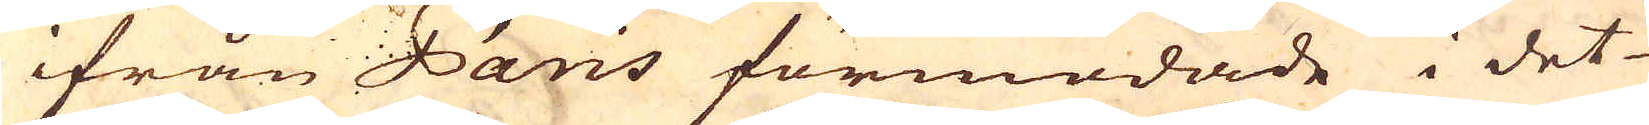ifrån Paris förmodade i det
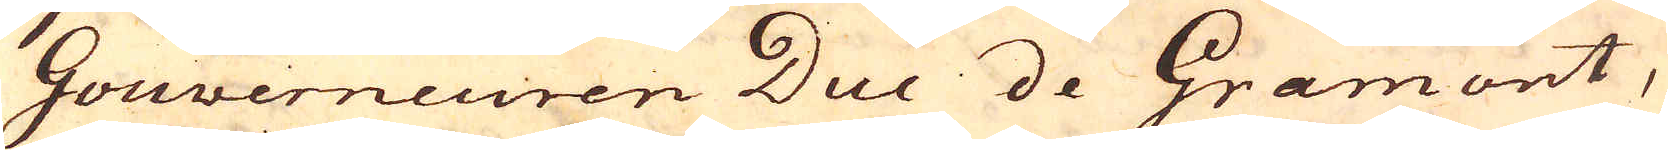Gouverneuren Duc de Gramont,
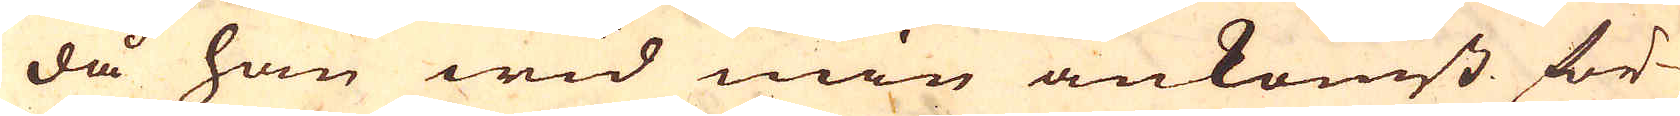då han wid min ankomst för-
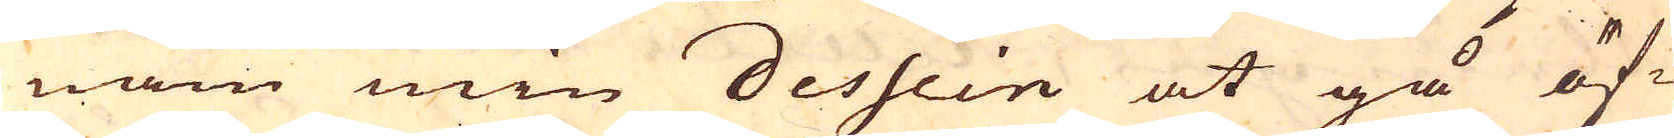nam min Dessein at gå öf-
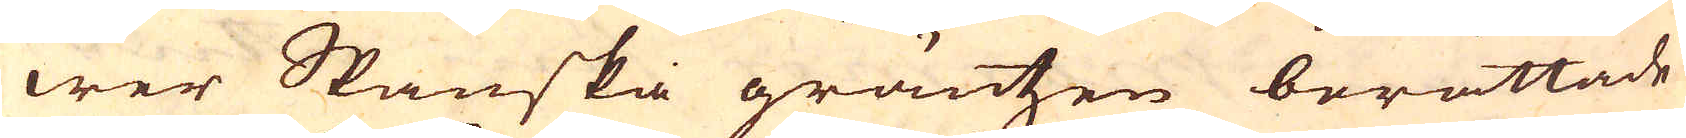wer Spanska gräntzen berättade
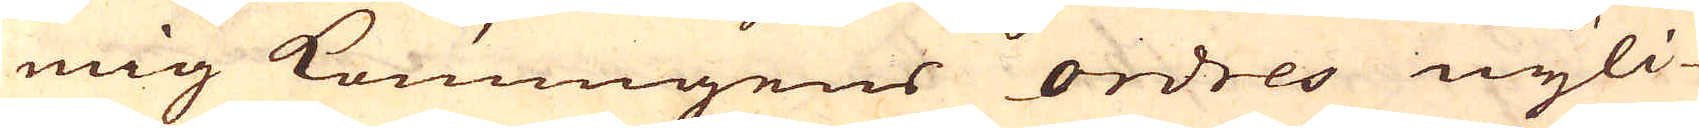mig Konungens ordres nyli-
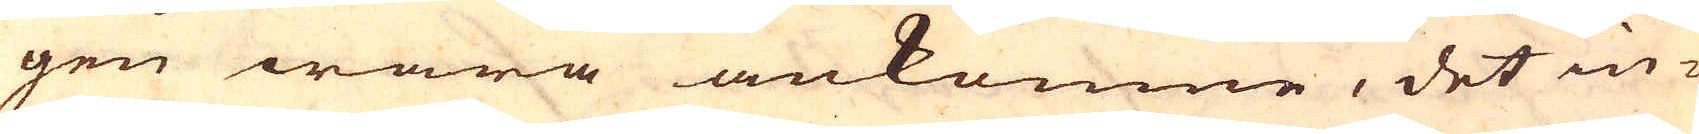gen wara ankomne, det in-
